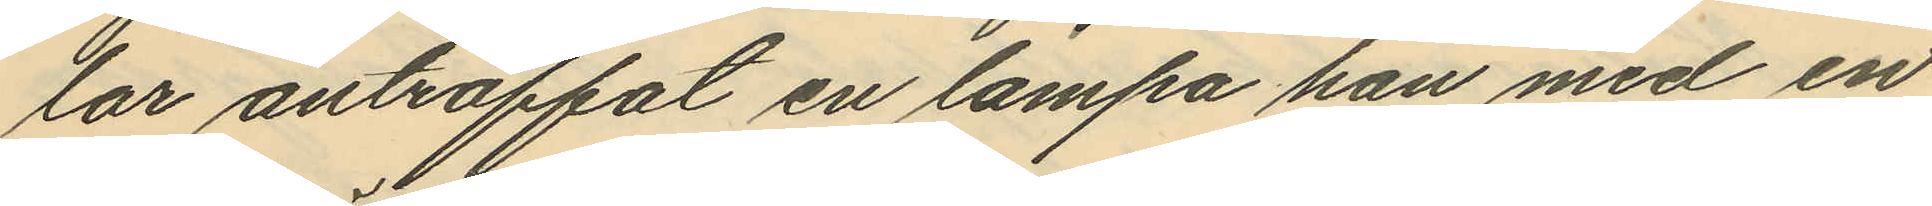lar anträffat en lampa han med en
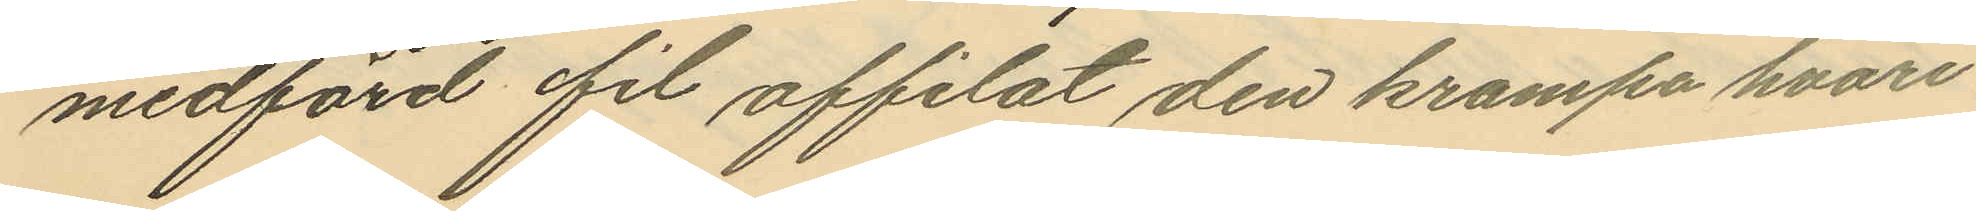medförd fil affilat den krampa hvari
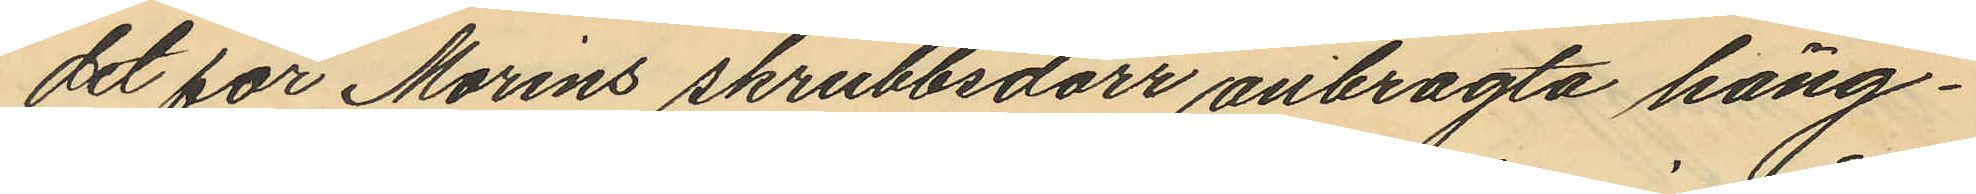det för Morins skrubbsdörr anbragta häng¬
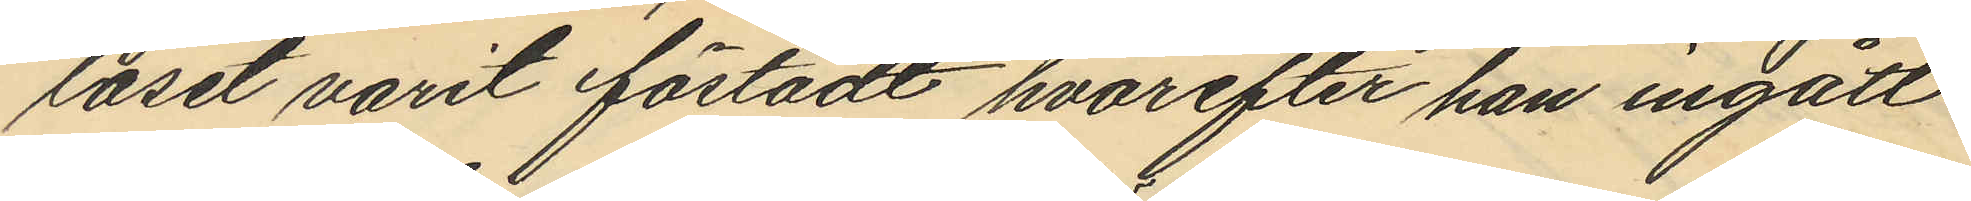låset varit fästadt hvarefter han ingått
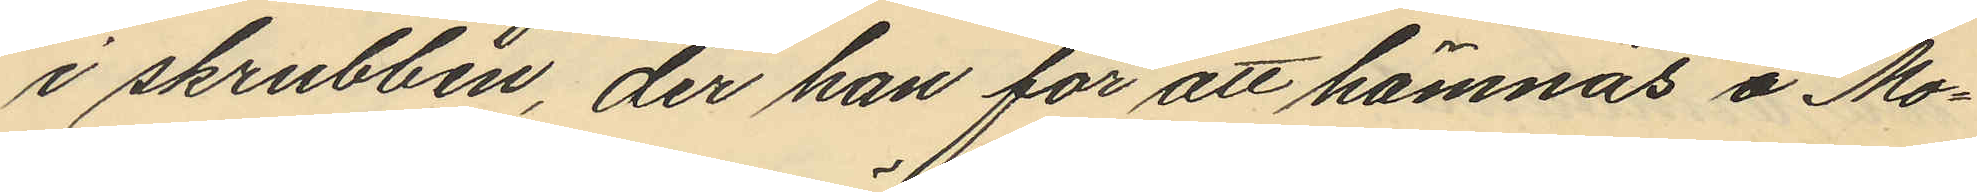i skrubben, der han för att hämnas å Mo¬
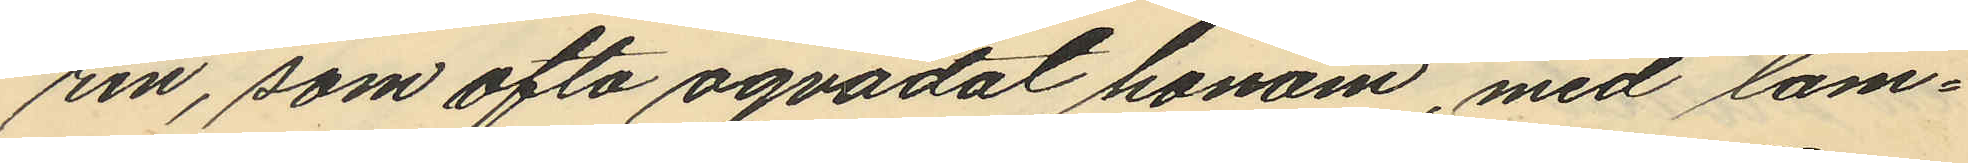rin, som ofta oqvädat honom, med lam¬
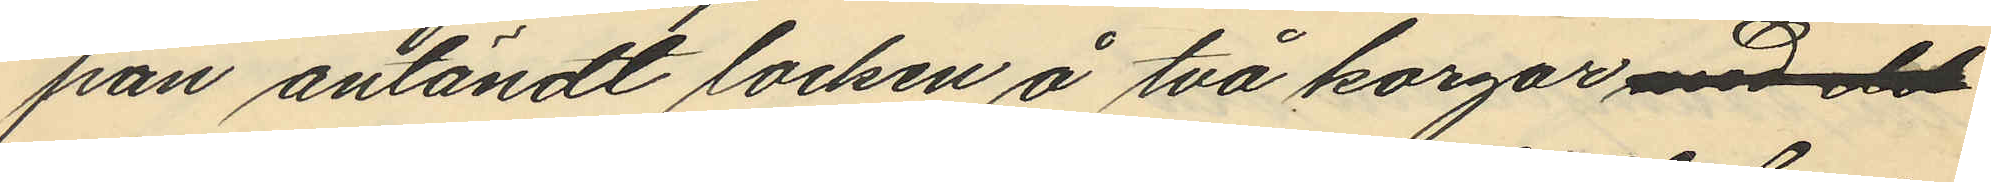pan antändt locken å två korgar med de
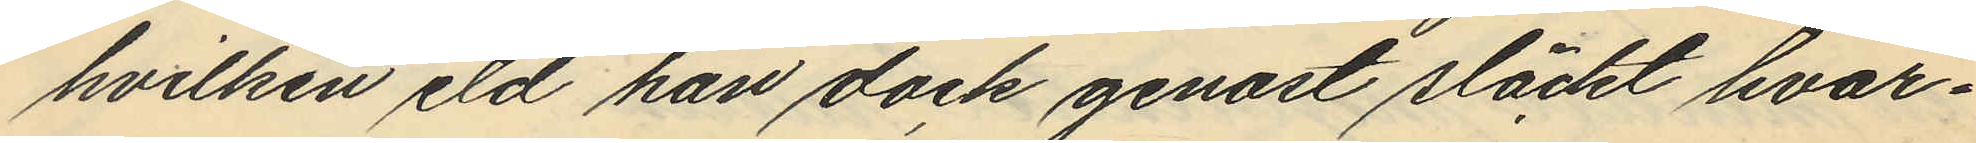hvilken eld han dock genast släckt hvar¬
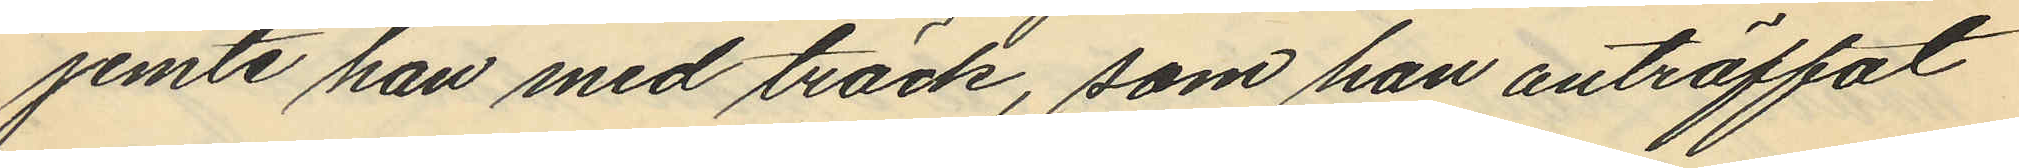jemte han med träck, som han anträffat
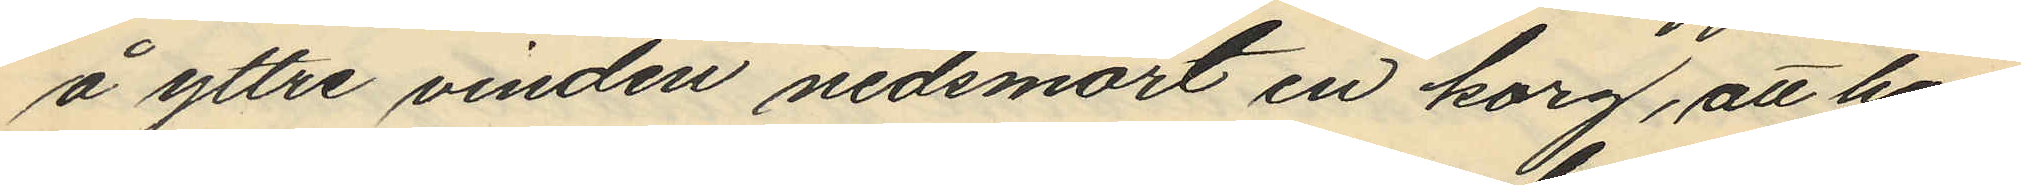å yttre vinden nedsmort en korg, att han
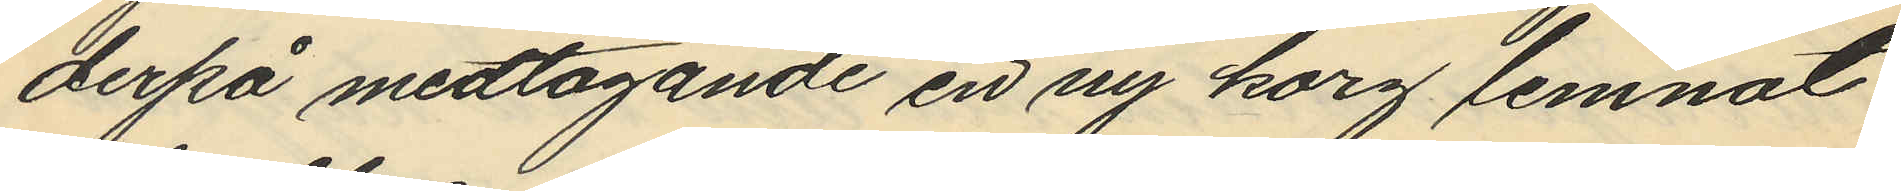derpå medtagande en ny korg lemnat
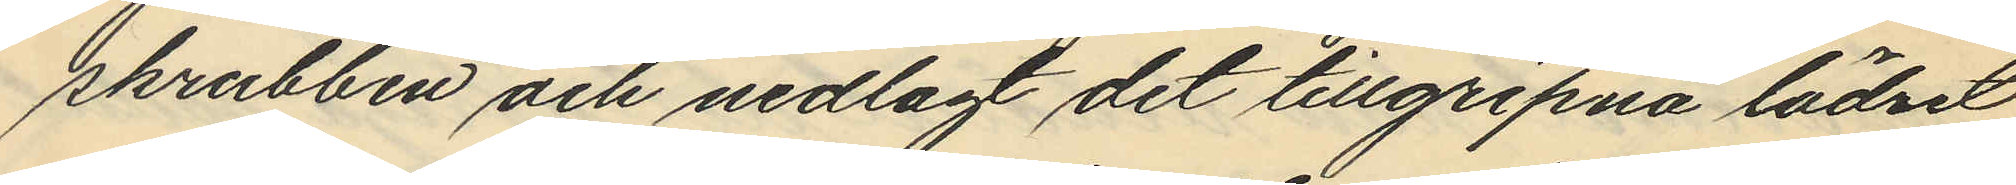skrubben och nedlagt det tillgripna lädret
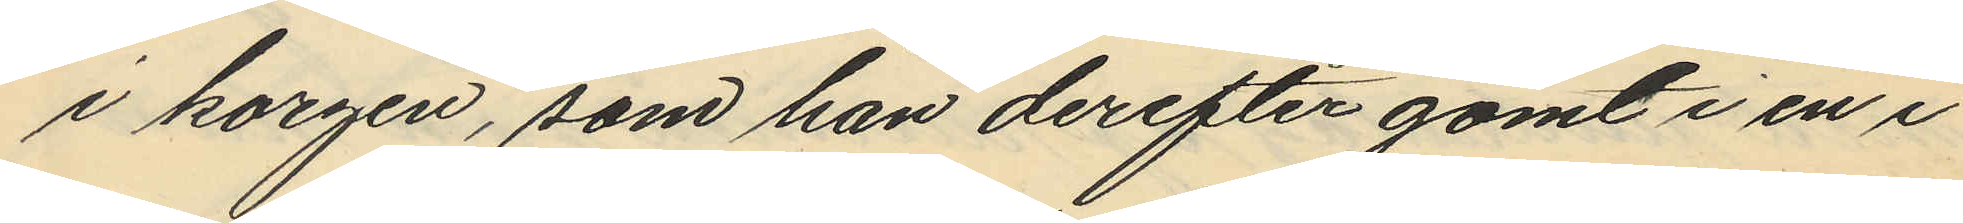i korgen, som han derefter gömt i en i
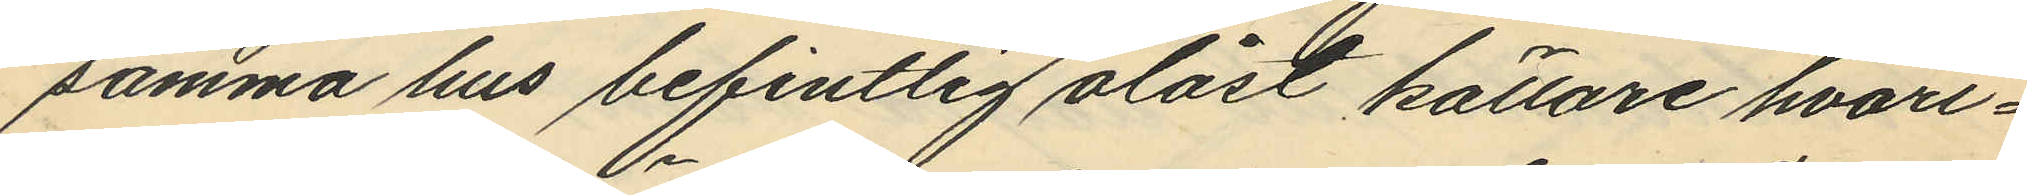samma hus befintlig olåst källare hvari¬
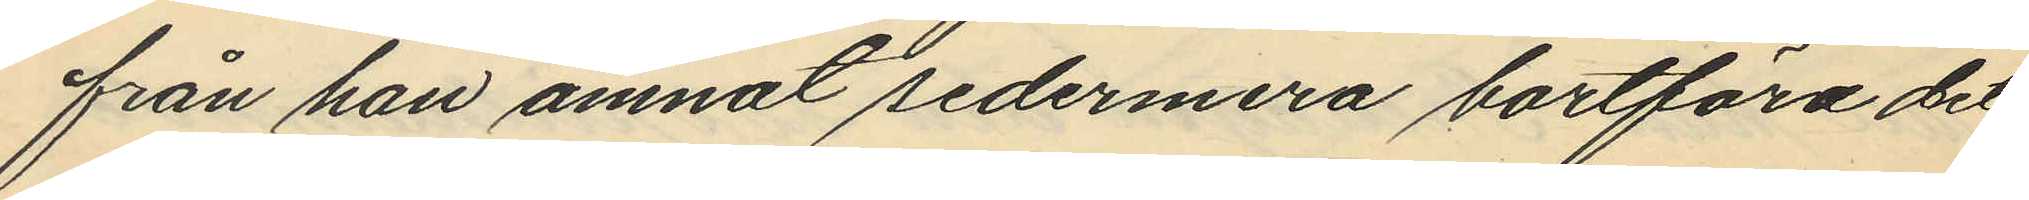från han ämnat sedermera bortföra det
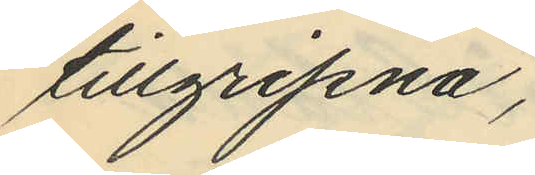tillgripna;
